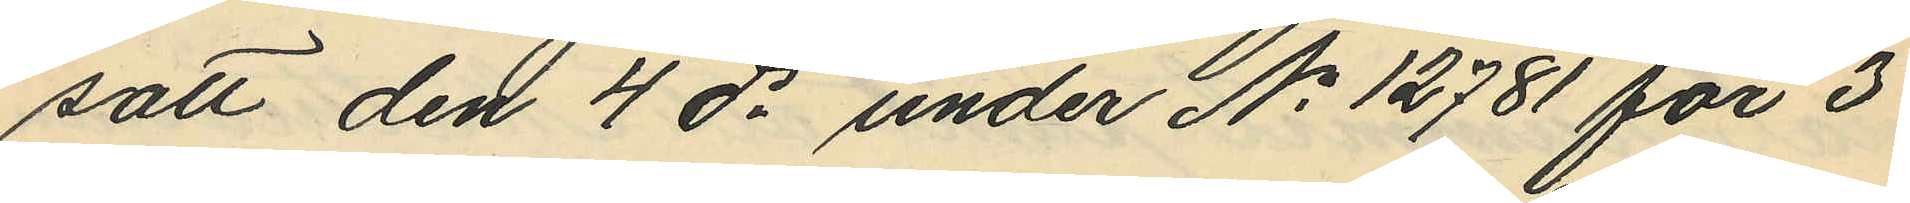satt den 4 ds under No 12781 för 3
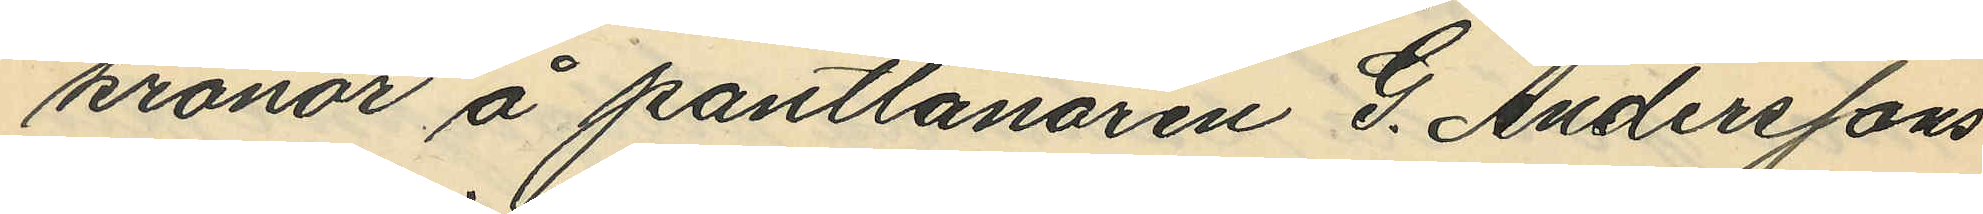kronor å pantlånaren G. Anderssons
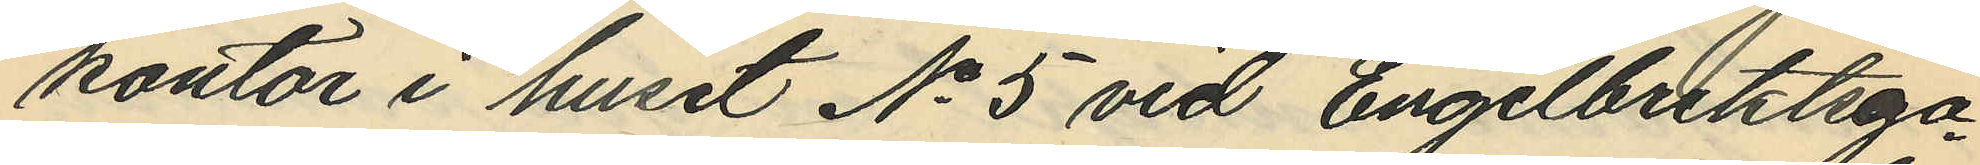kontor i huset No 5 vid Engelbrektsga¬
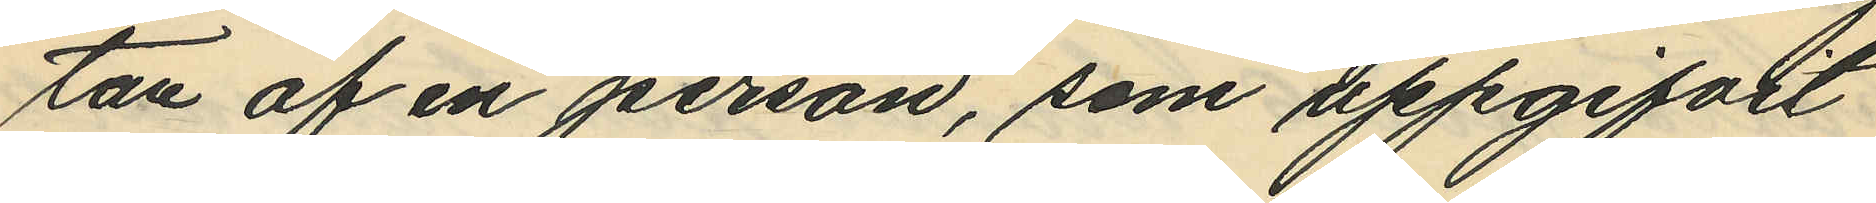tan af en person, som uppgifvit
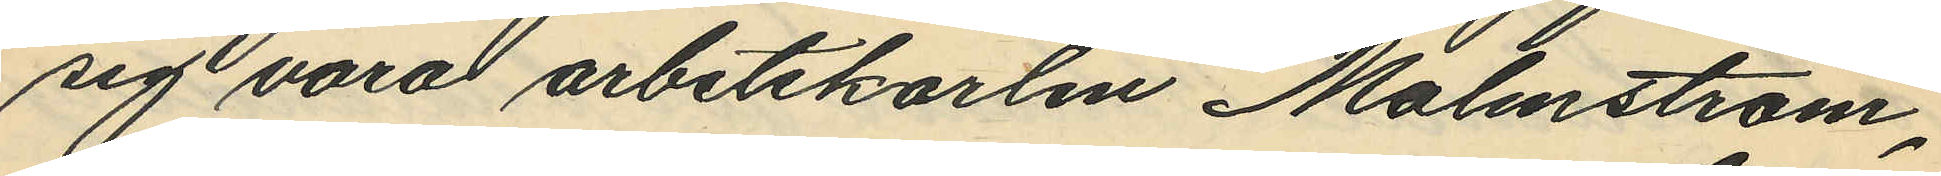sig vara arbetskarlen Malmström,
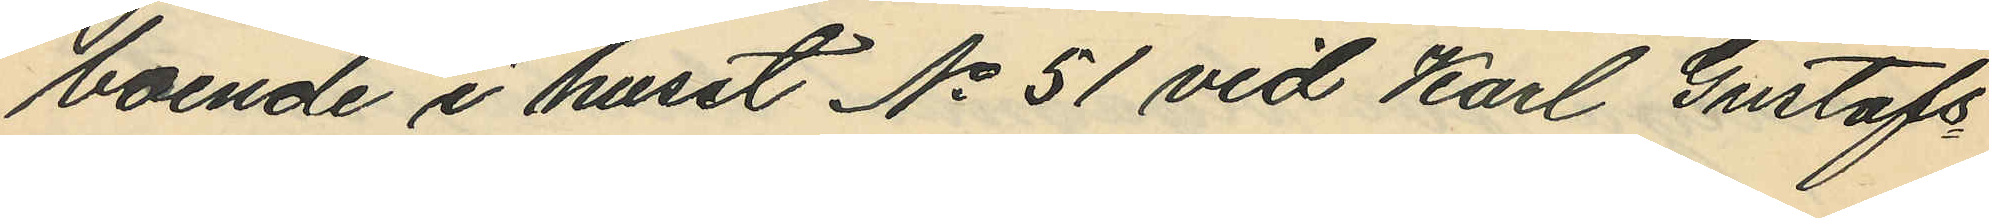boende i huset No 51 vid Karl Gustafs¬
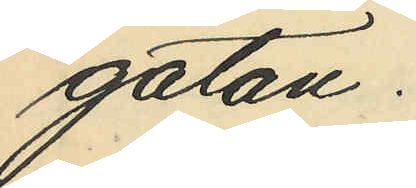gatan.
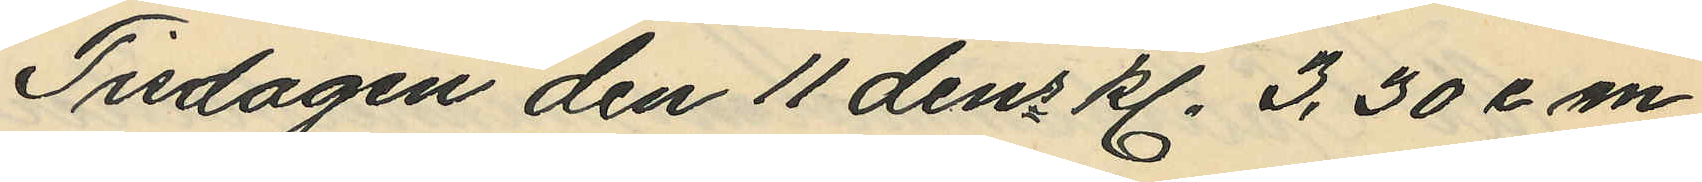Tisdagen den 11 dens kl. 3,30 e m
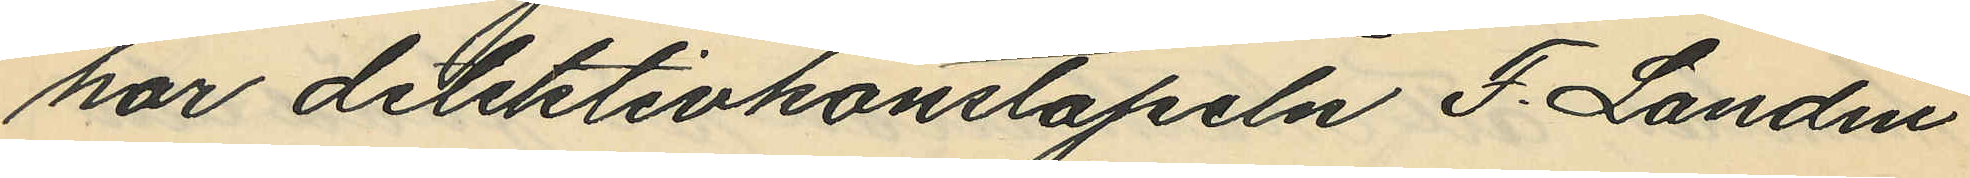har detektivkonstapeln F. Landin
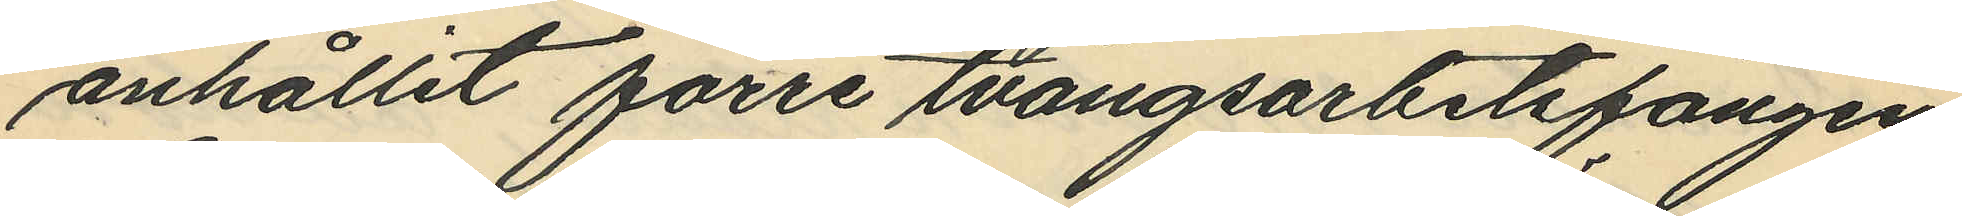anhållit förre tvångsarbetsfången
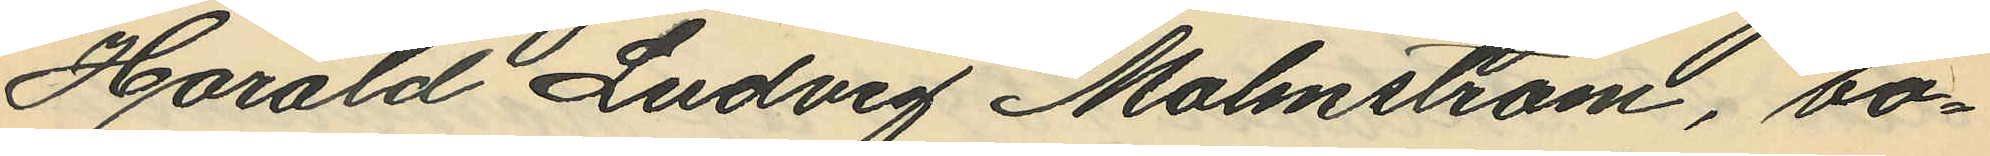Harald Ludvig Malmström, bo¬
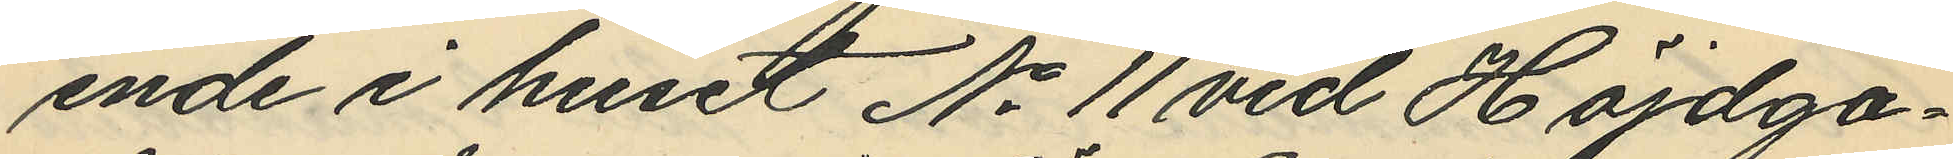ende i huset No 11 vid Höjdga¬
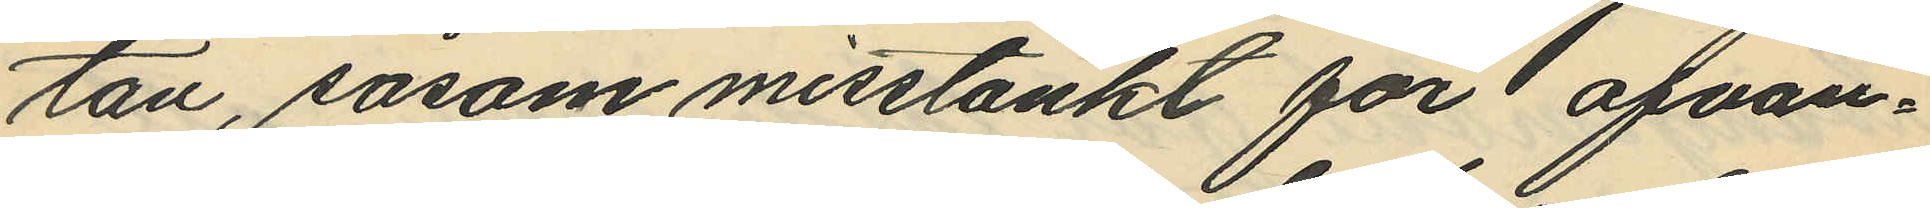tan, såsom misstänkt för ofvan¬
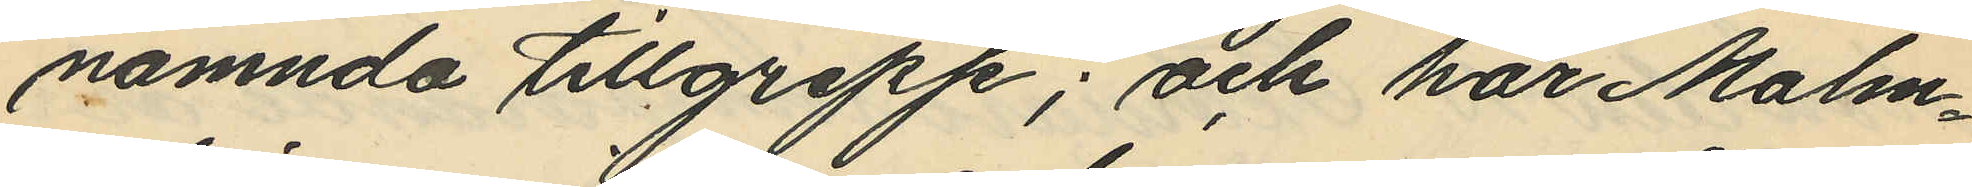nämnda tillgrepp; och har Malm¬
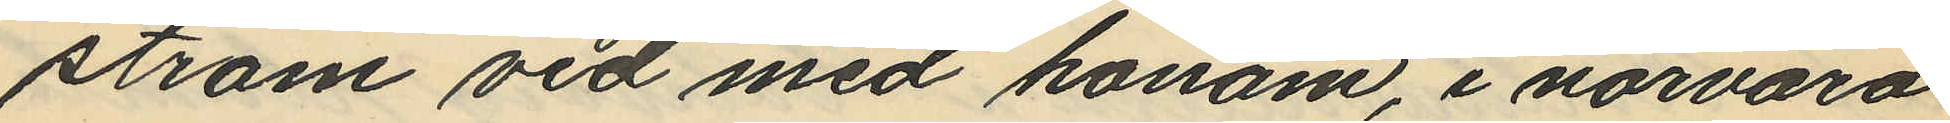ström vid med honom, i närvaro
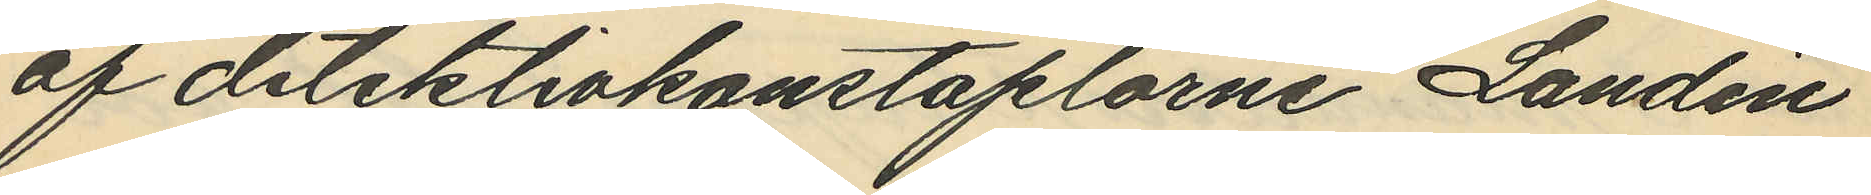af detektivkonstaplarne Landin
